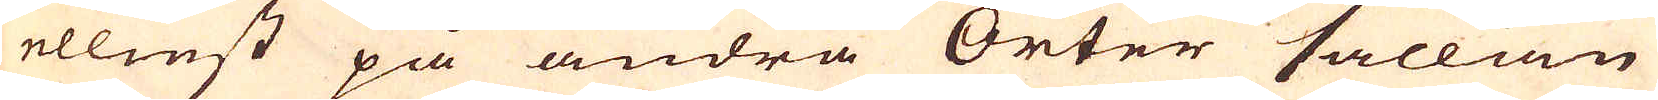ellinst på andra Orter sällan
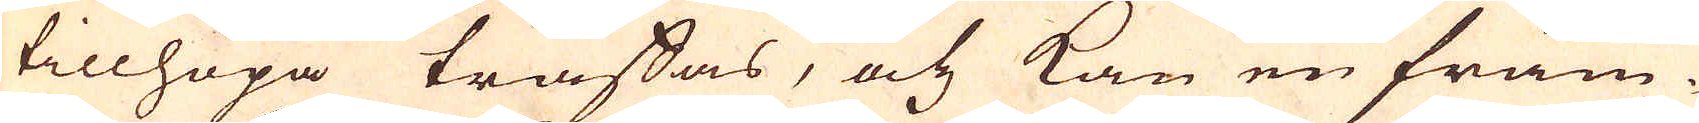tillhopa träffas, och kan en främ-
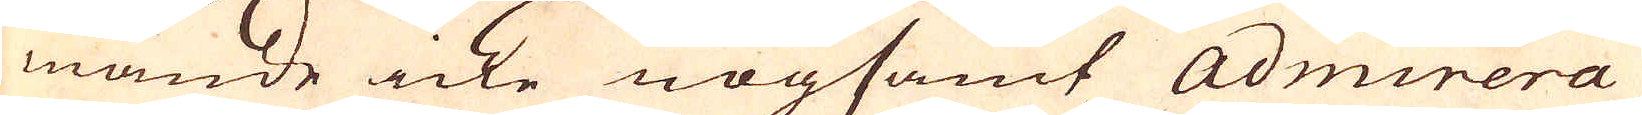mande icke nogsamt Admirera
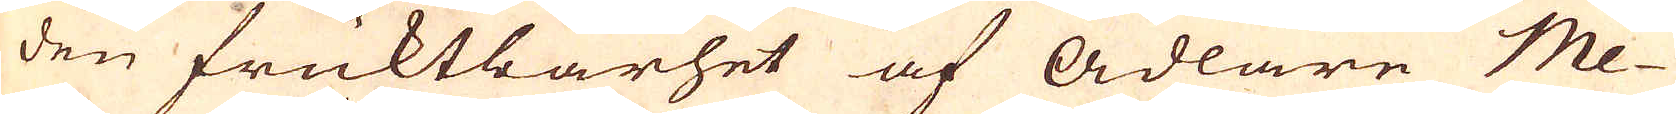den fruktbarhet af ädlare Me-
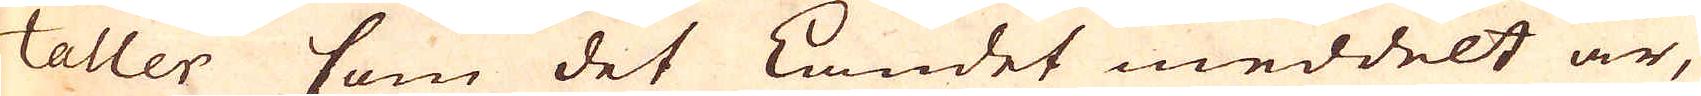taller som det Landet meddelt är,
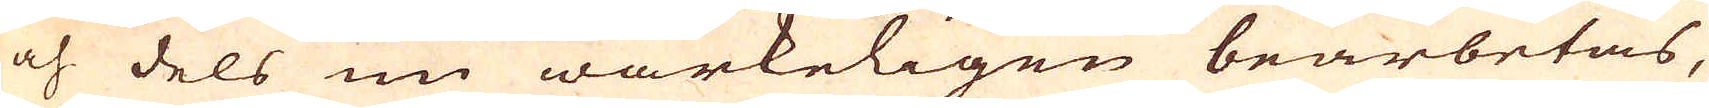och dels nu wärkeligen bearbetas,
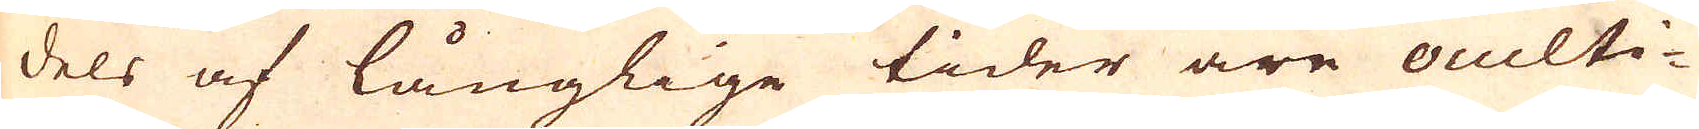dels af långlige tider äre oculti-
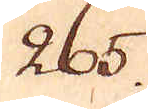265.
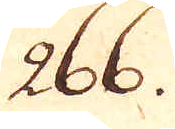266.
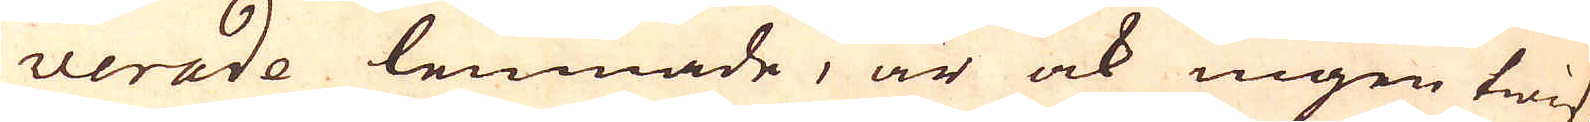verade lennade, är ock ingen twif-
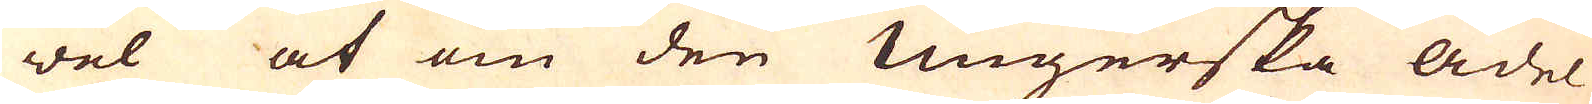wel at om den Ungerska adel
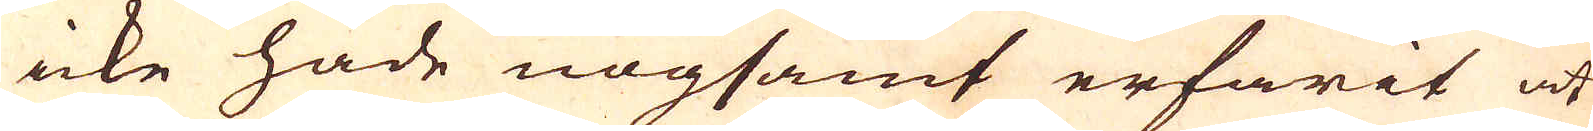icke hade nogsamt erfarit at
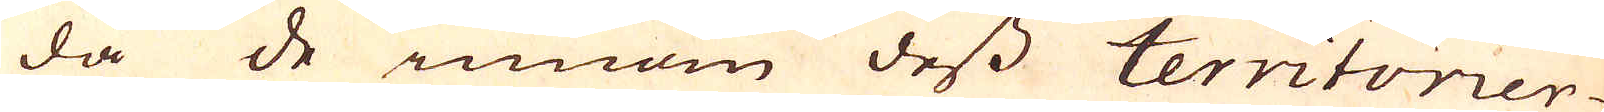då de innom dess territorier
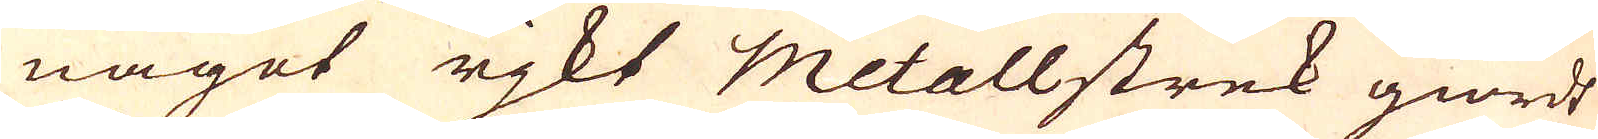något rjkt Metallstrek giordt
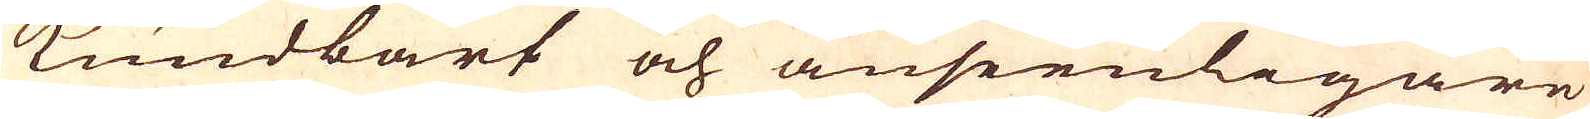kundbart och anseenligare
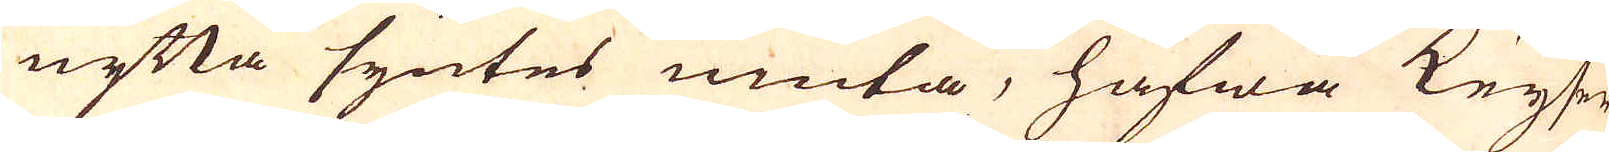nytta syntes niuta, hafwa Keyser-
